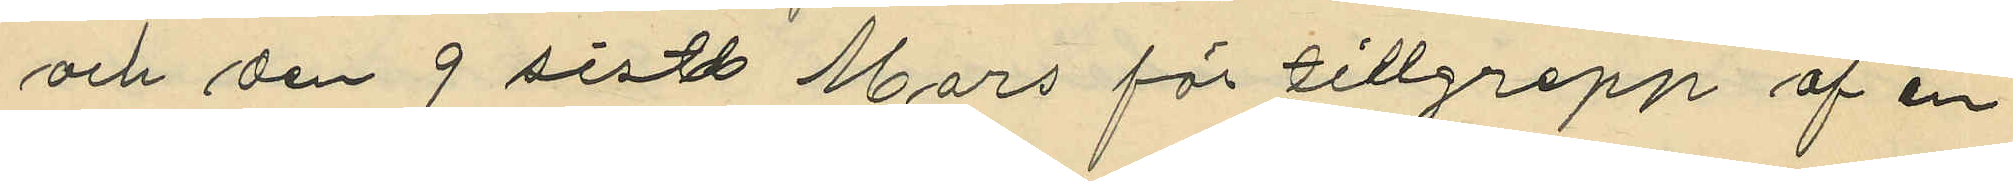och den 9 sistl. Mars för tillgrepp af en
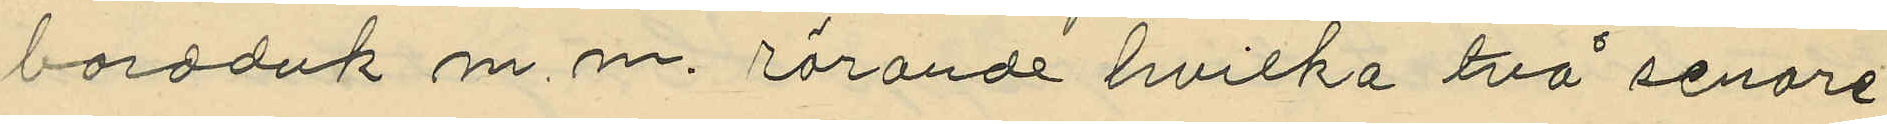bordduk m. m. rörande hvilka två senare
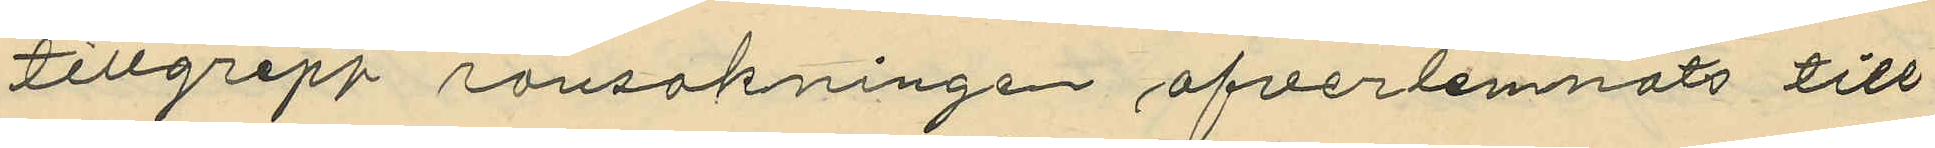tillgrepp ransakninge öfverlemnats till
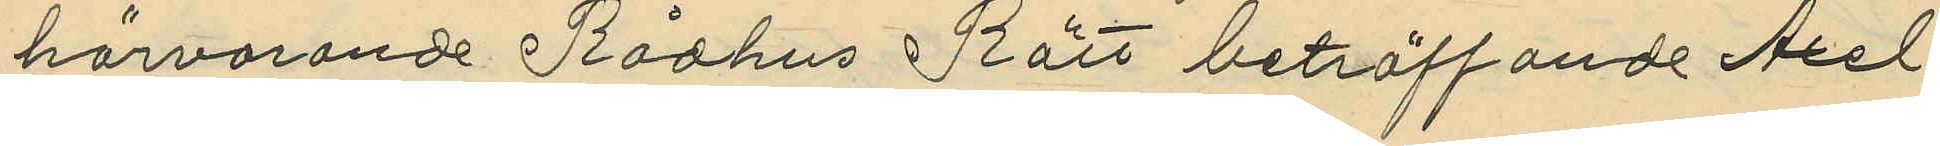härvarande Rådhus Rätt beträffande Axel
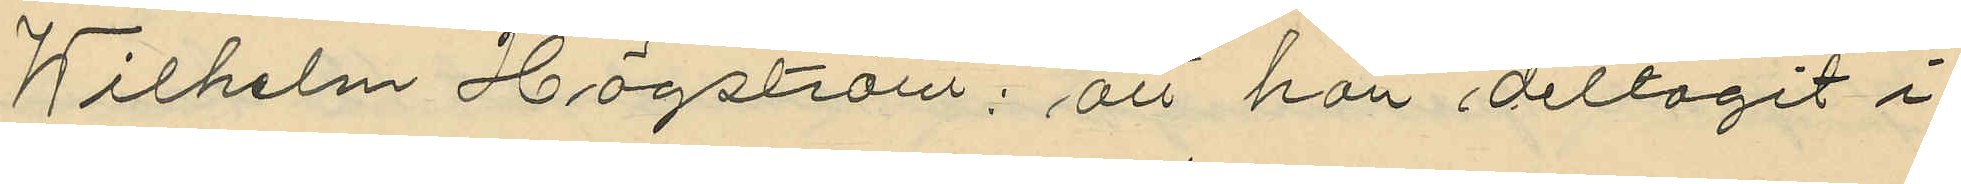Wilhelm Högström: att han deltagit i
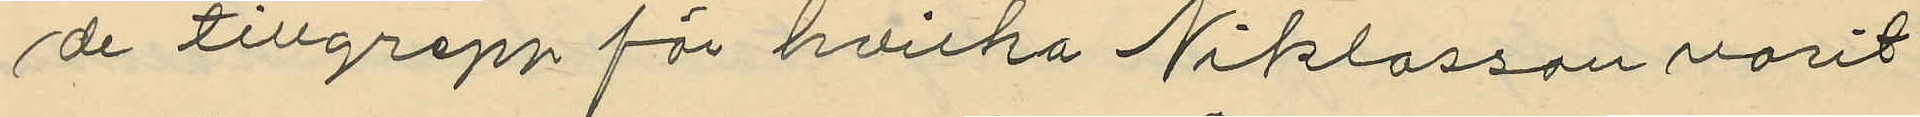de tillgrepp för hvilka Niklasson varit
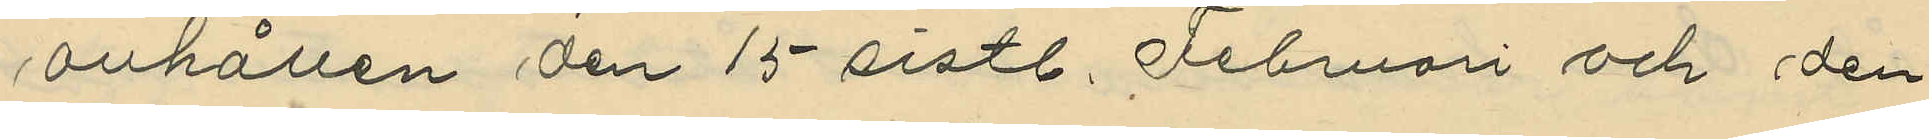anhållen den 15 sistl. Februari och den
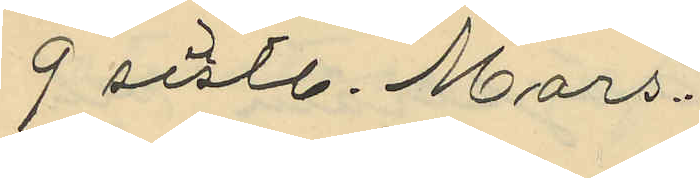9 sistl. Mars.
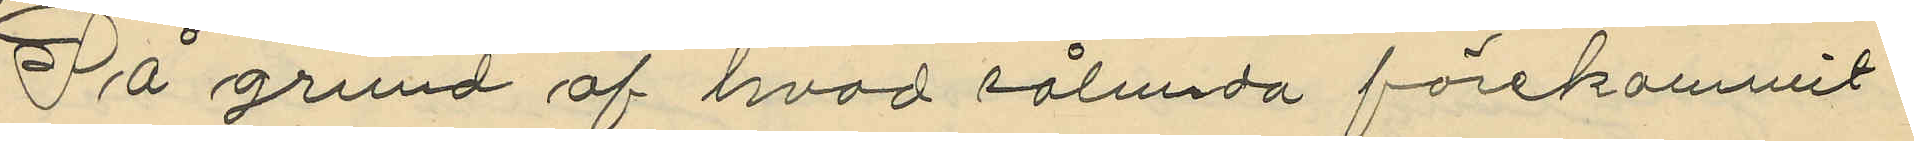På grund af hvad sålunda förekommit
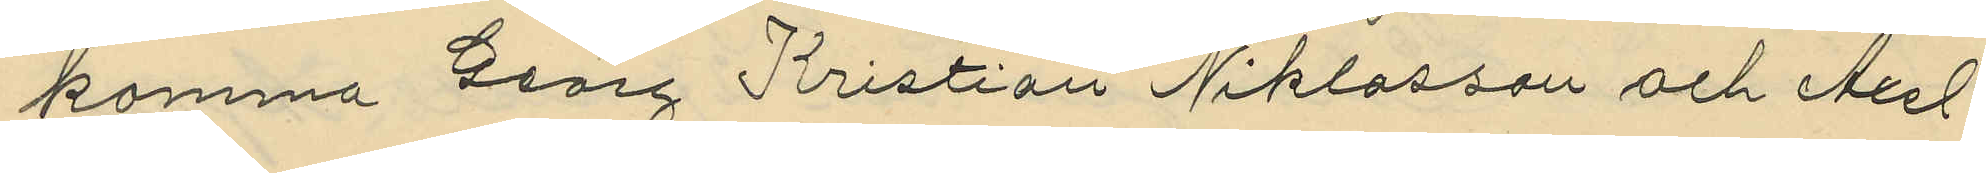komma Georg Kristian Niklasson och Axel¬
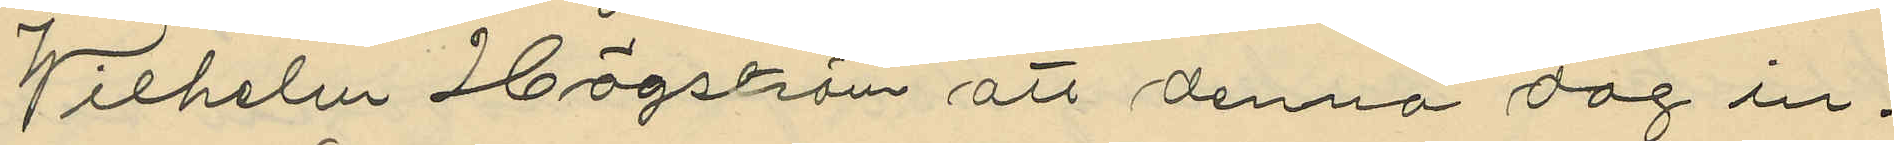Wilhelm Högström att denna dag in¬
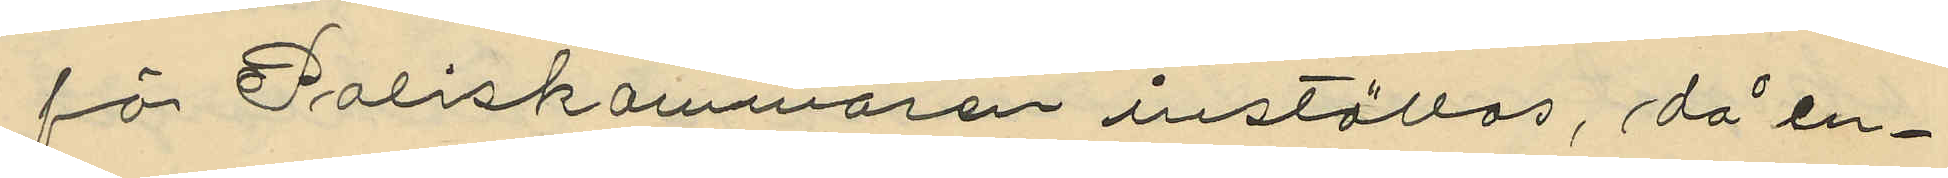för Poliskammaren inställas, då en¬
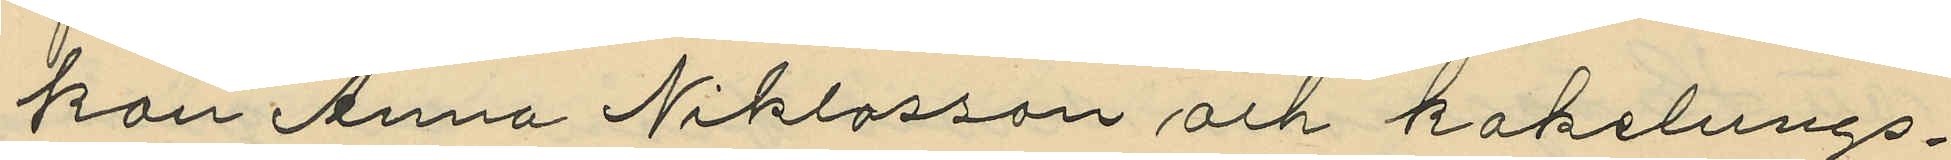kan Anna Niklasson och kakelungs¬
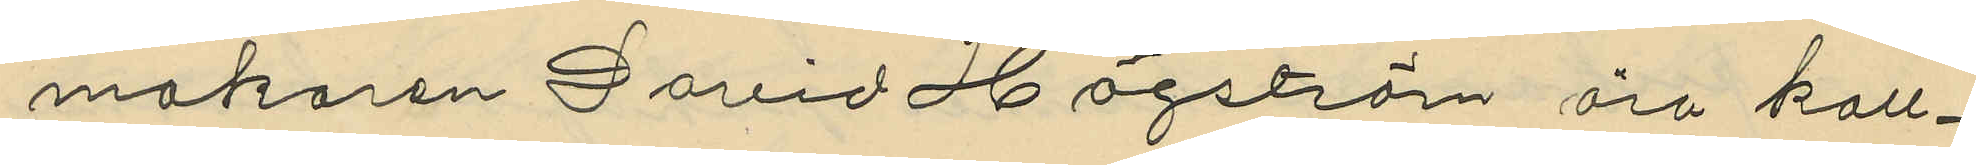makaren David Högström äro kall¬
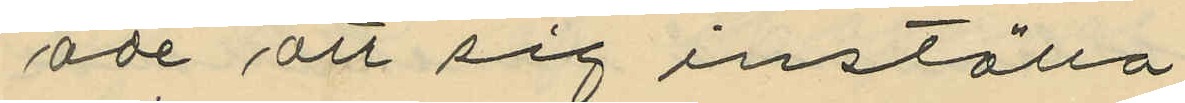ade att sig inställa
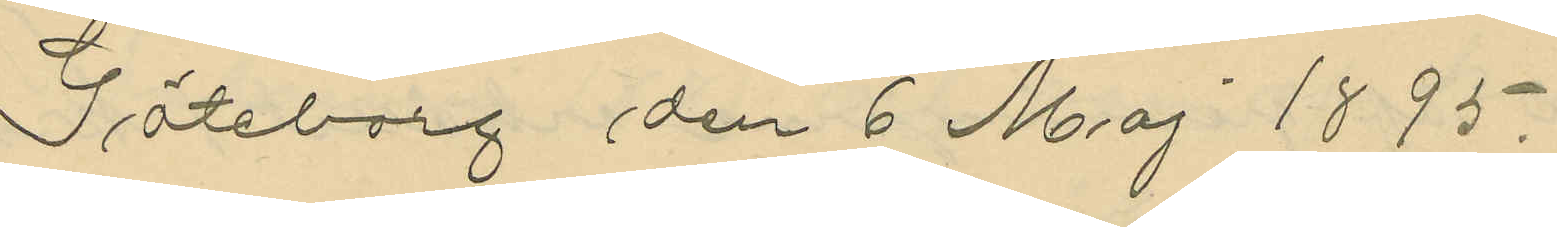Göteborg den 6 Maj 1895.
